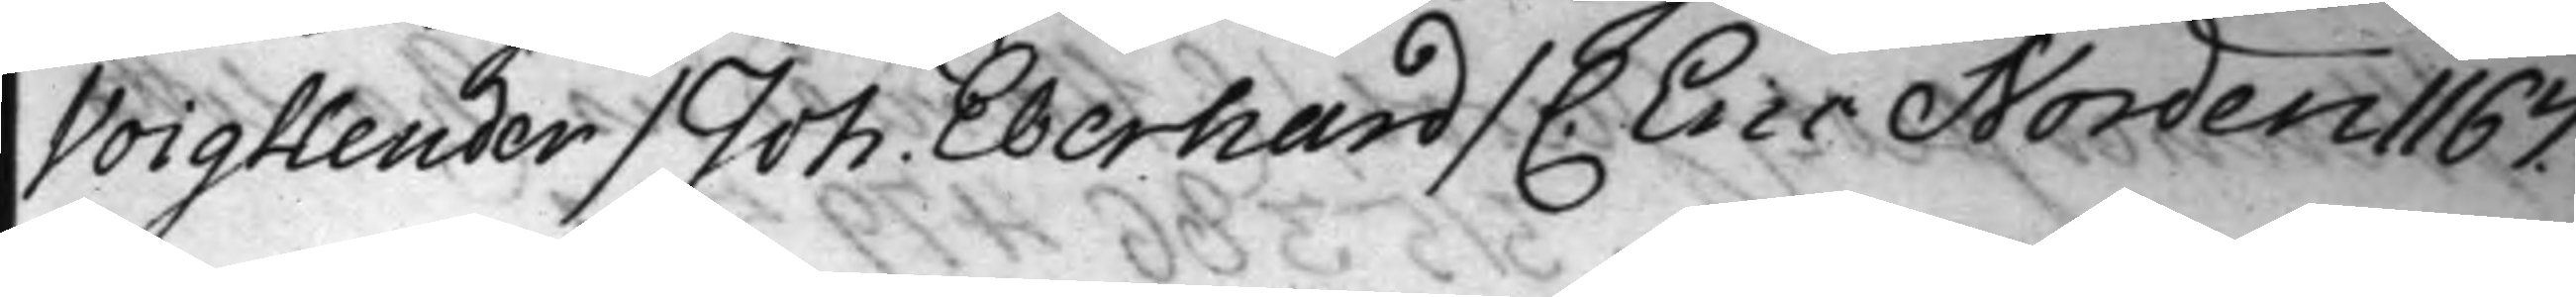Voigtlender / Joh. Eberhard / C. Eric Norden 1167.
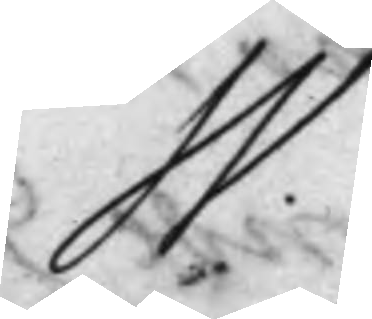W.
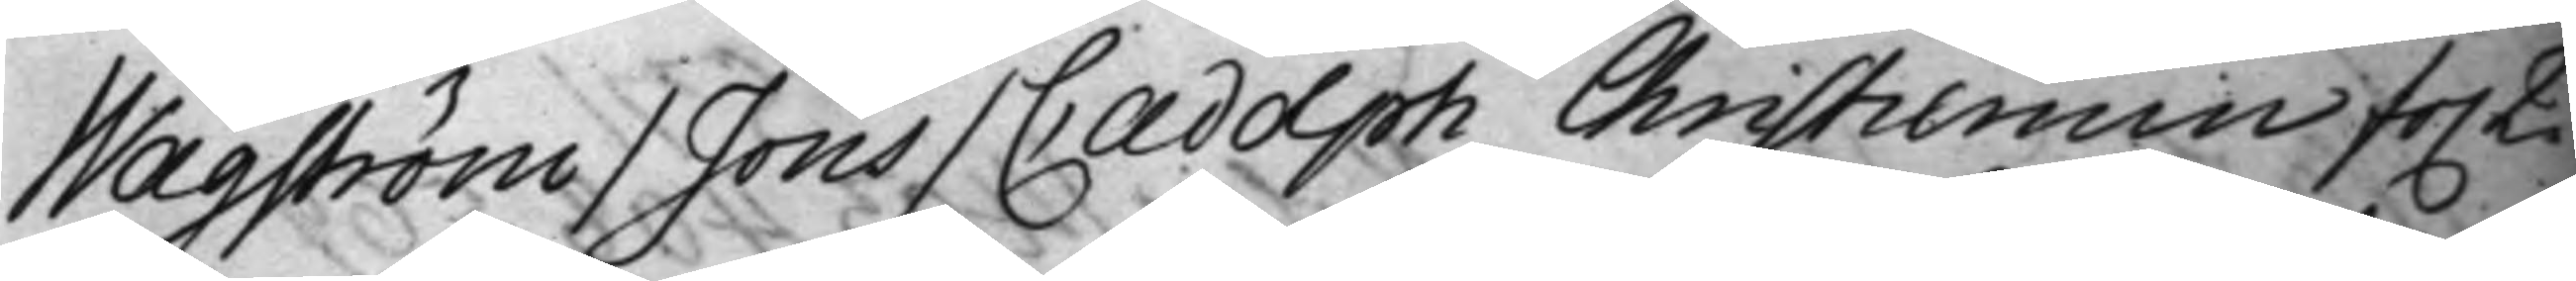Wågström / Jöns / C Adolph Christiernin fo. 2.
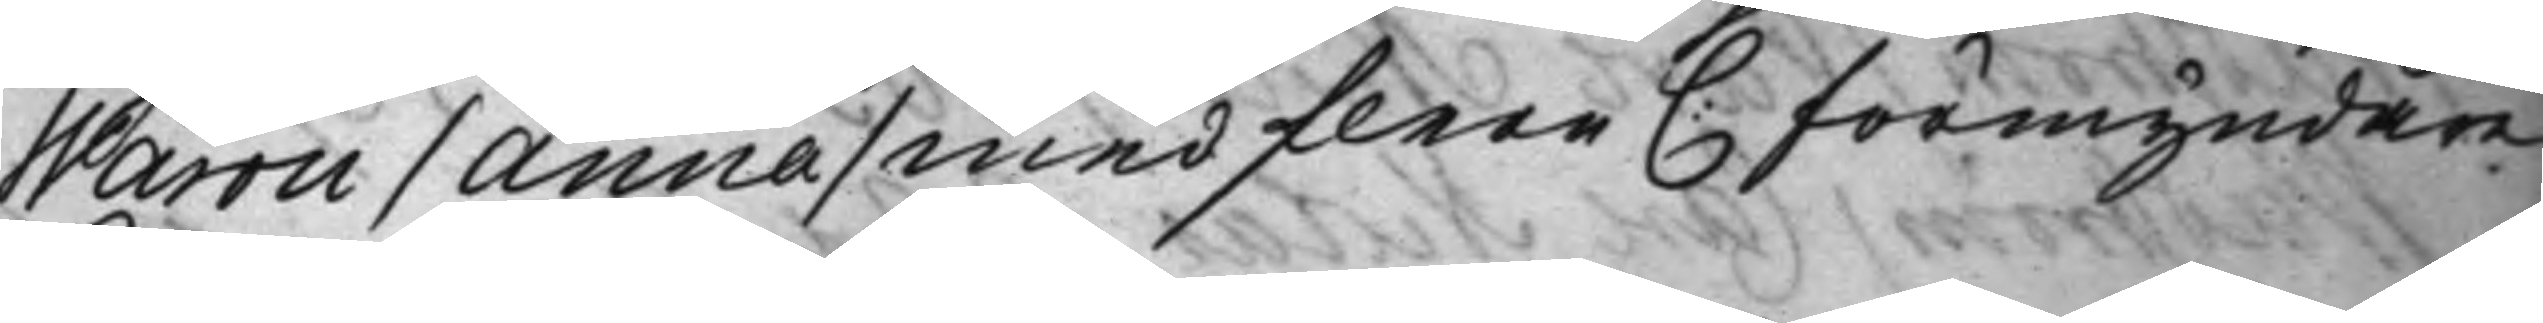Warou / Anna / med flere C: Förmyndare¬
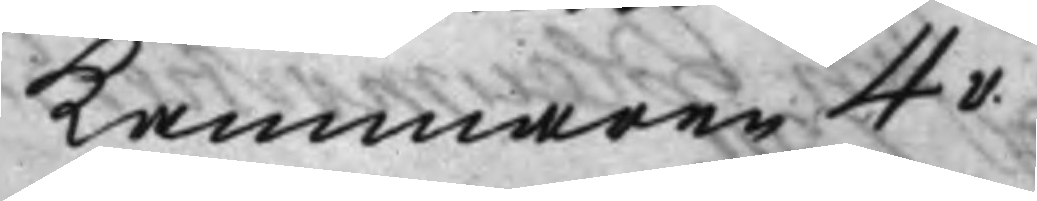Kammaren 4v.
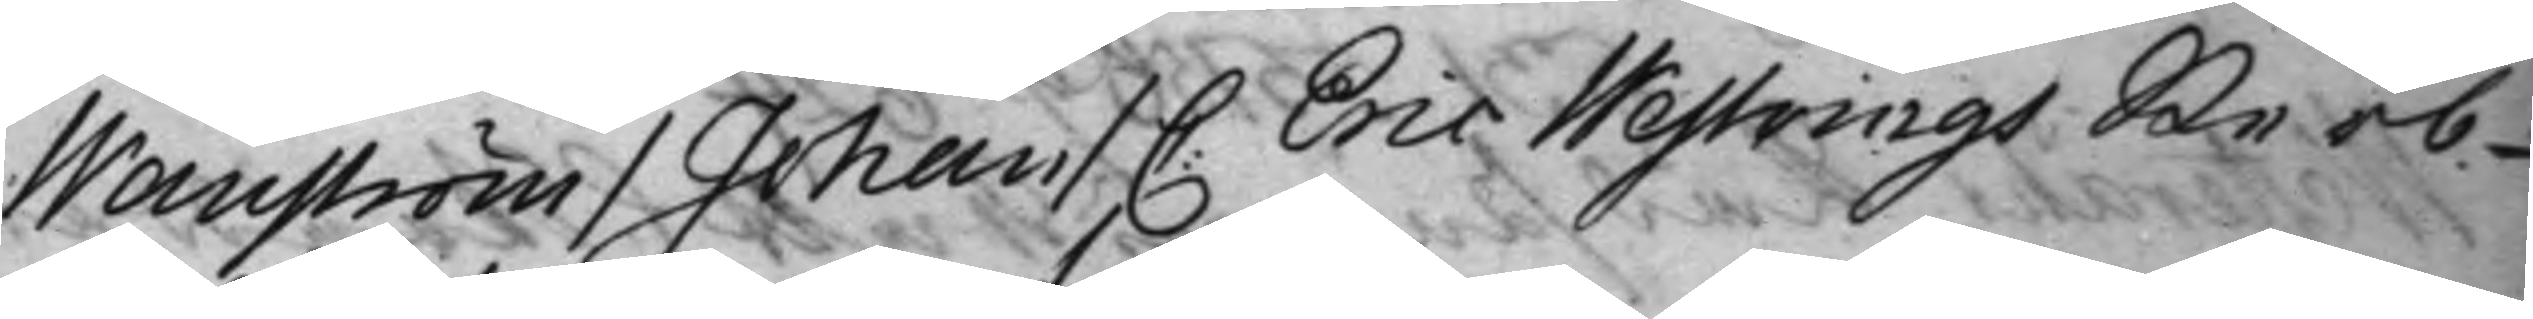Wanström / Johan / C. Eric Westrings Sterb¬
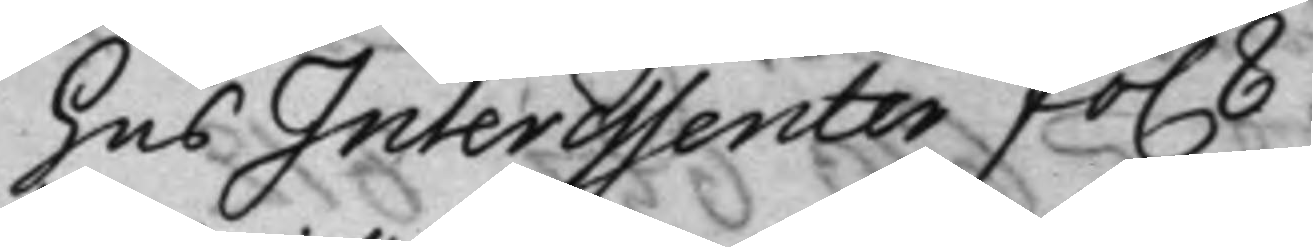hus Interessenter fo. 8
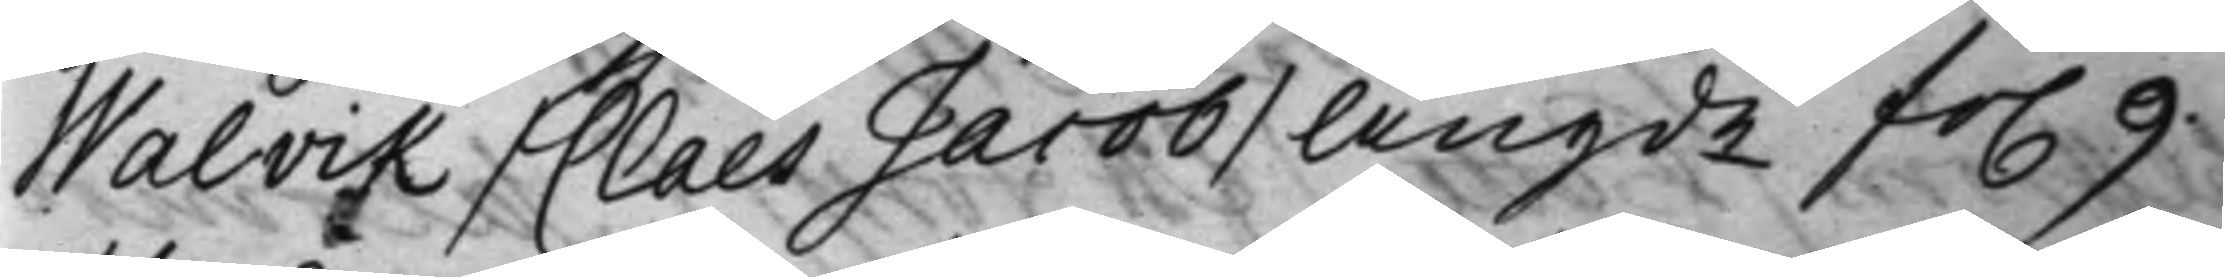Walvik / Claes Jacob / Angde fo. 9.
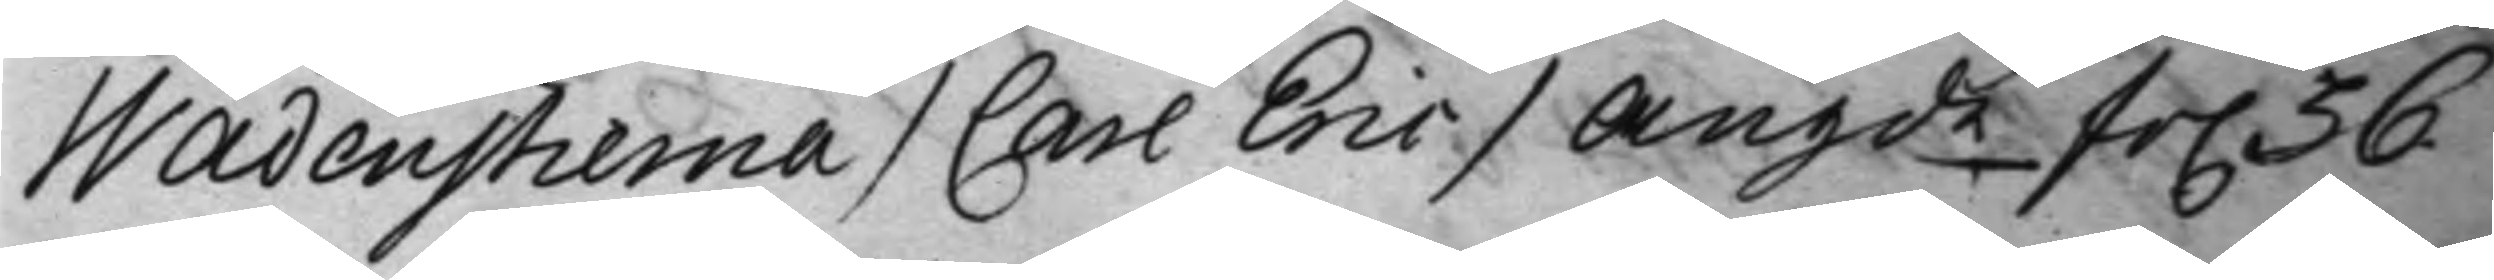Wadenstierna / Carl Eric / Angde fo. 36
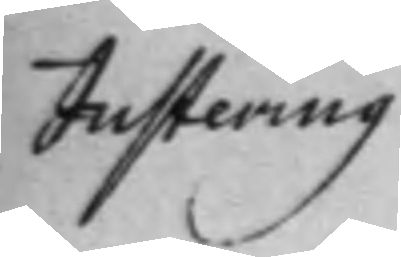Justering
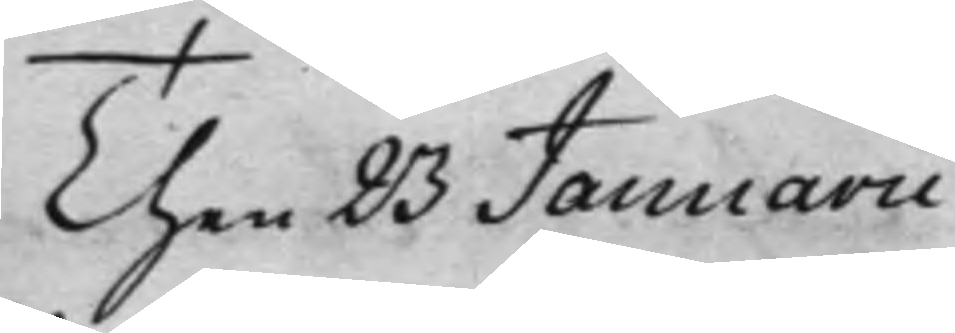Then 23 Januarii
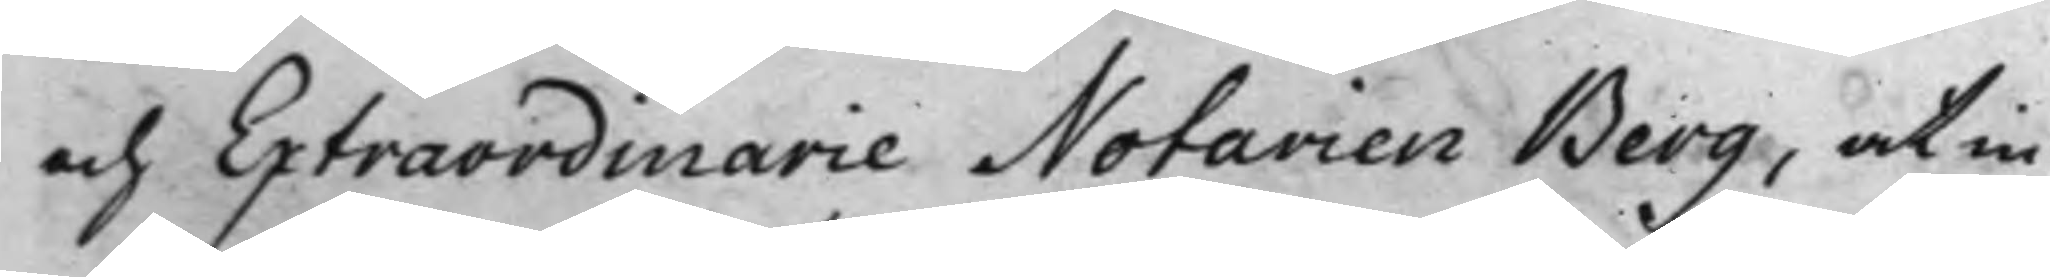och Extraordinarie Notarien Berg, at in¬
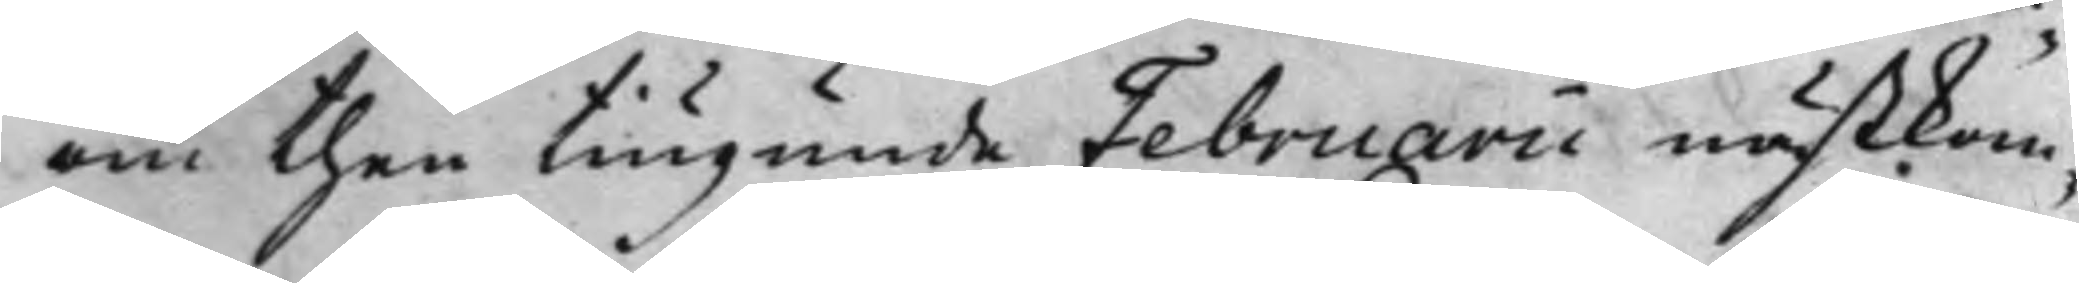om then tiugunde Februarii nästkom¬
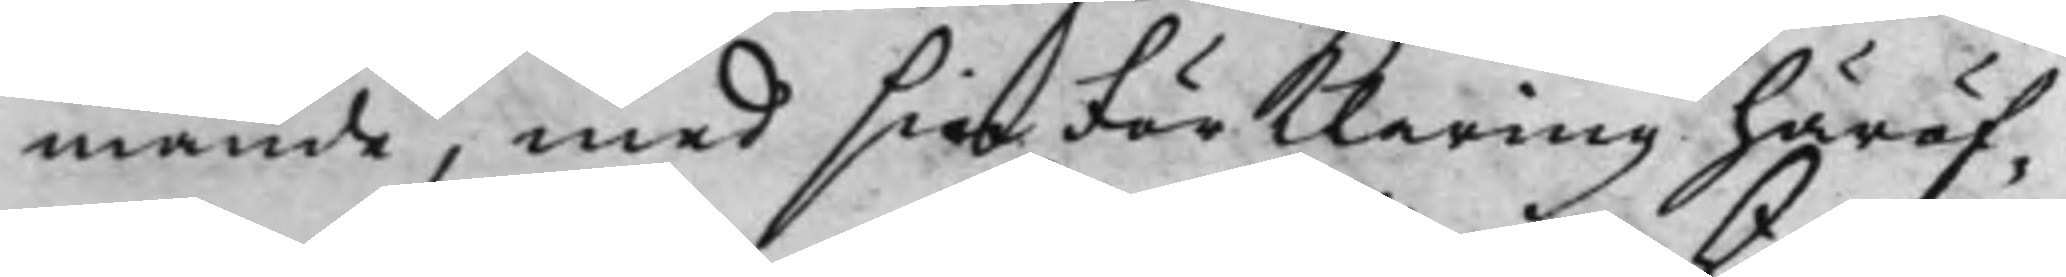mande, med sin FörKlaring häröf¬
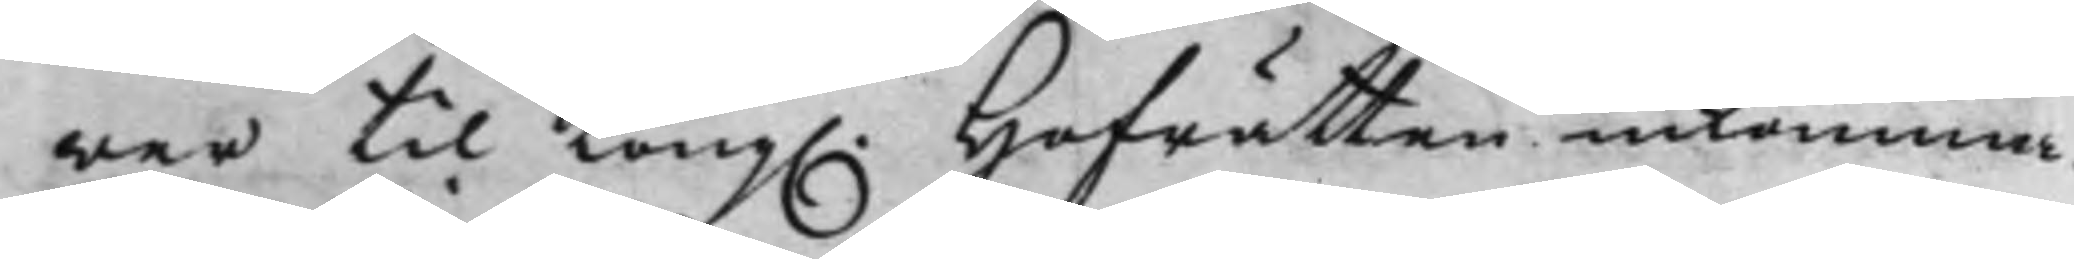wer til Kong. Hofrätten inkomma.
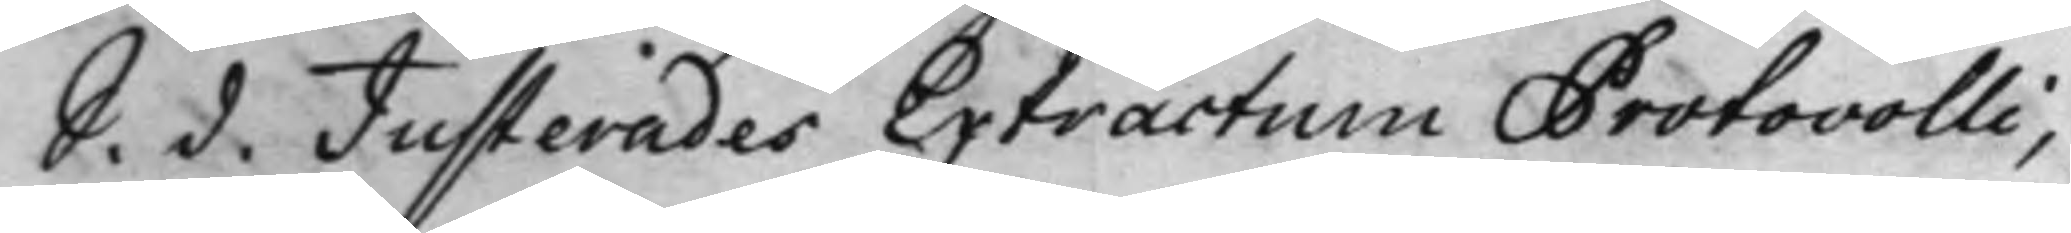S. d. Justerades Extractum Protocolli,
